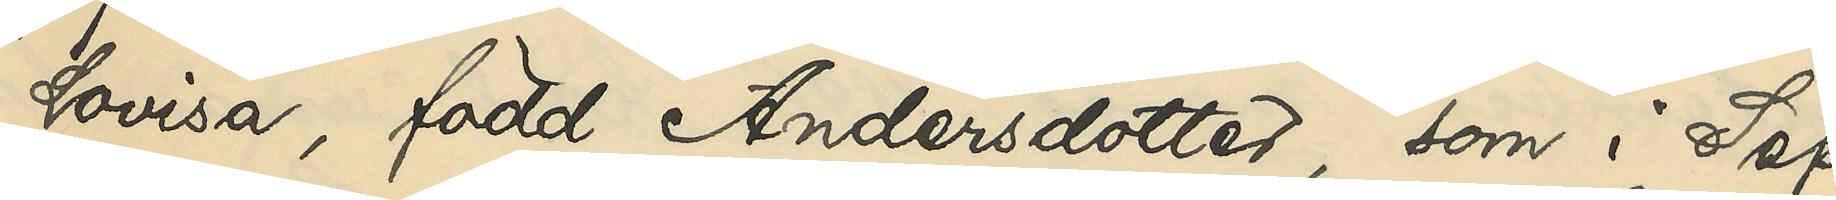Lovisa, född Andersdotter, som i Sep¬
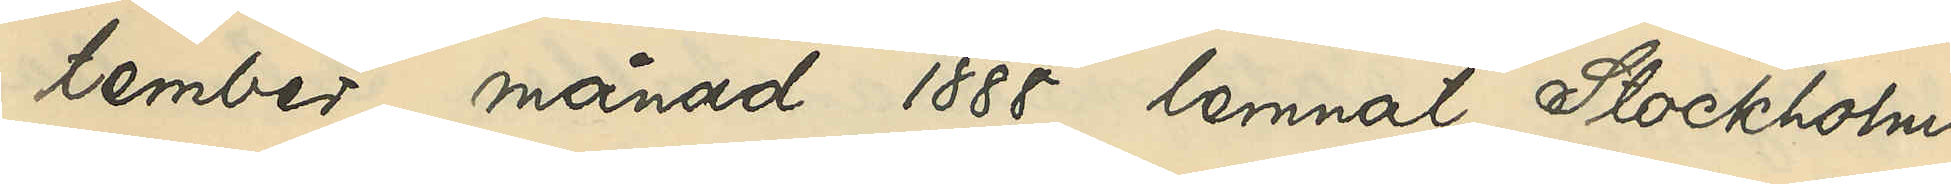tember månad 1888 lemnat Stockholm
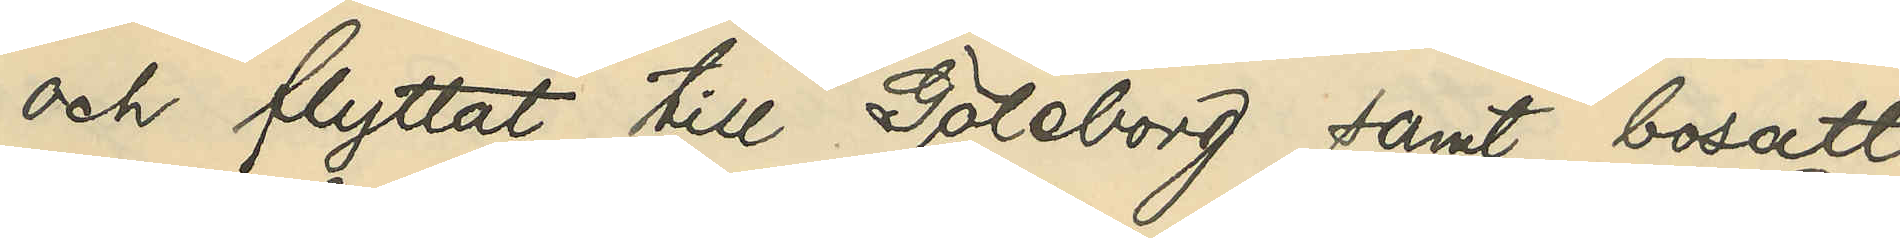och flyttat till Göteborg samt bosatt
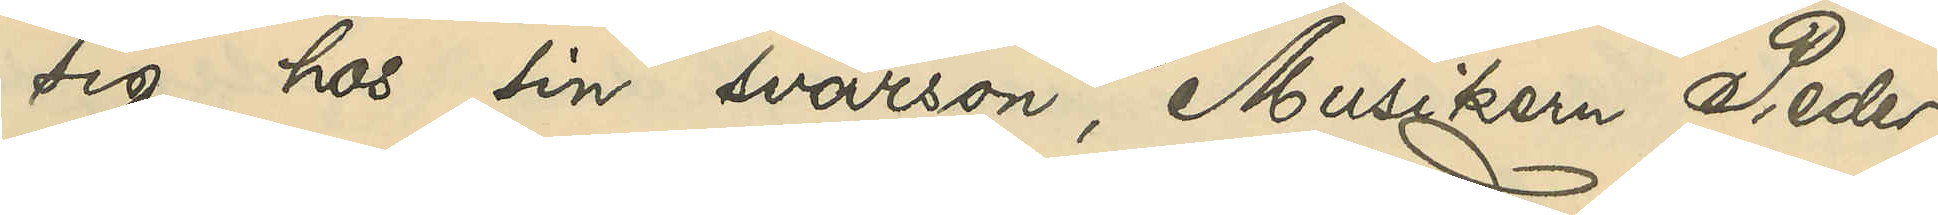sig hos sin svärson, Musikern Peder
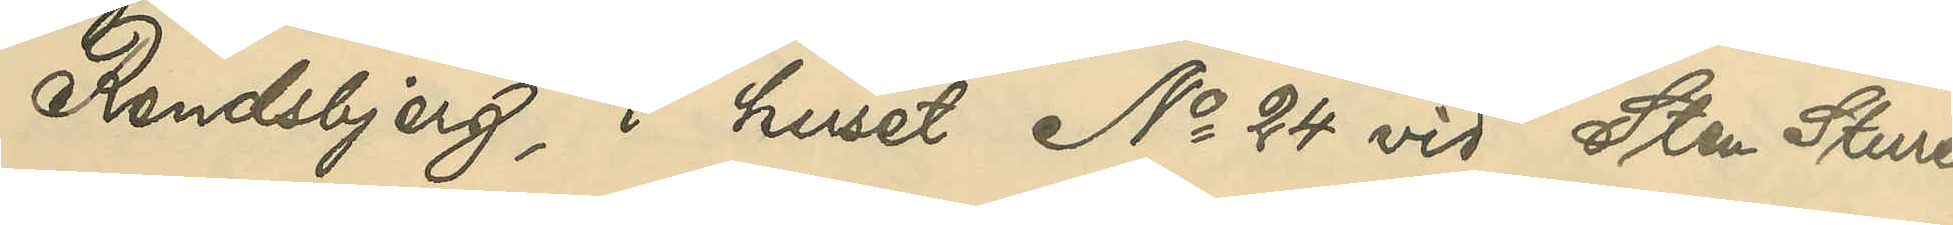Rendsbjerg, i huset No 24 vid Sten Sture¬
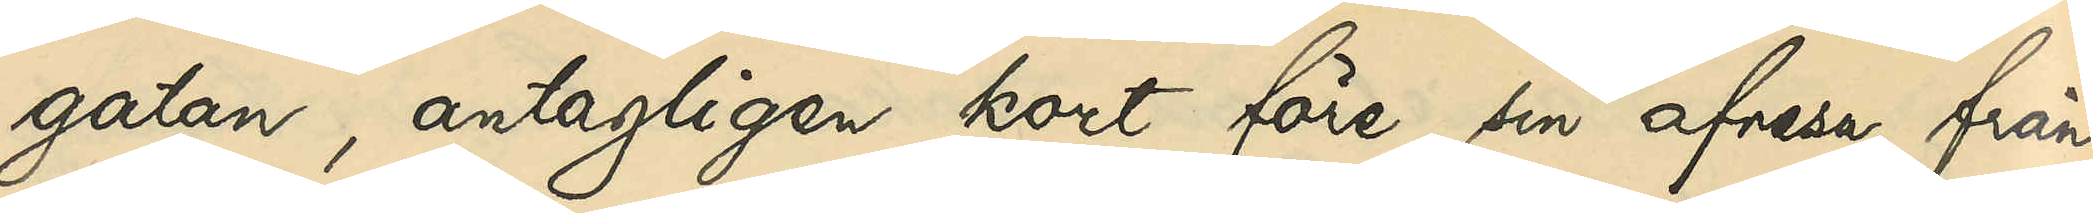gatan, antagligen kort före sin afresa från
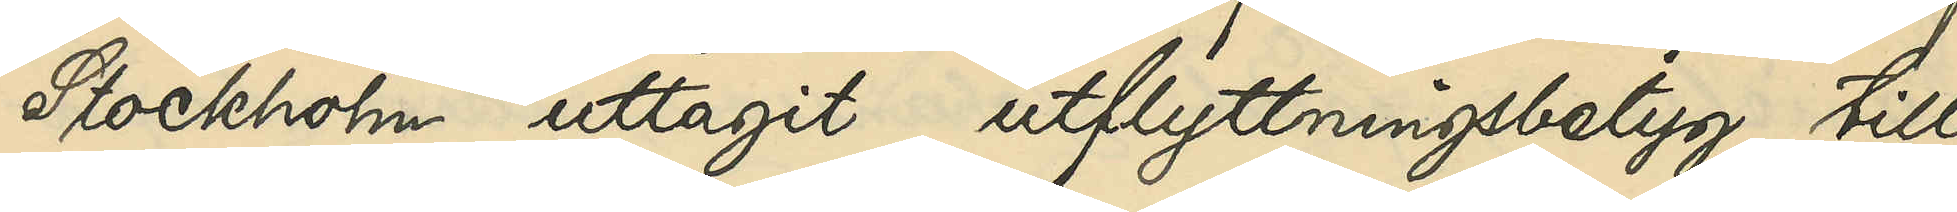Stockholm uttagit utflyttningsbetyg till
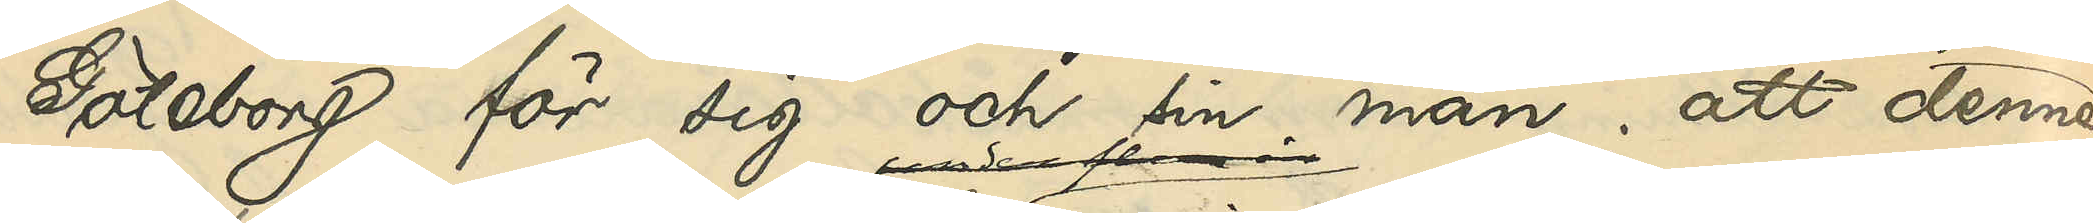Göteborg för sig och sin man; att denne 
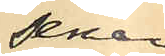senare
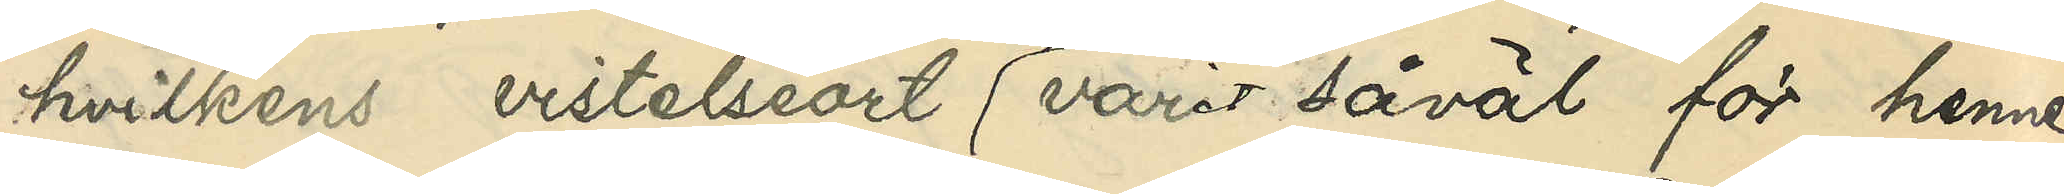hvilkens vistelseort varit såväl för henne
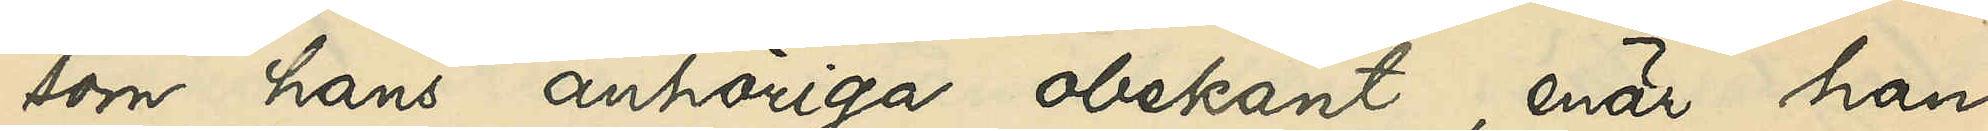som hans anhöriga obekant, enär han
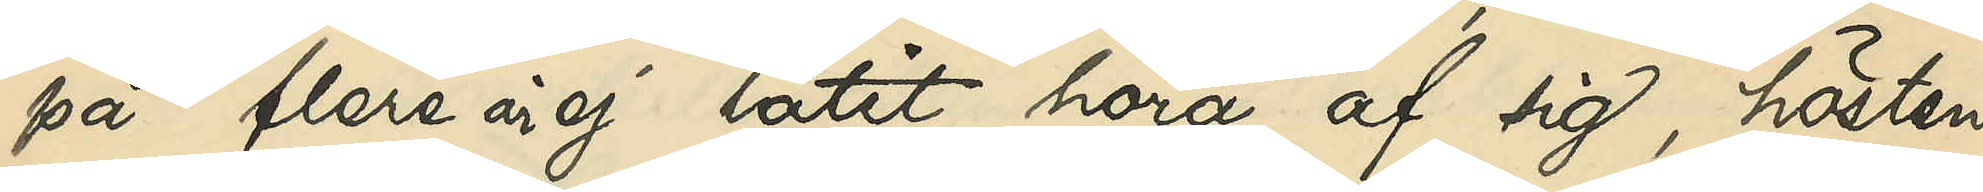på flere år ej låtit höra af sig, hösten
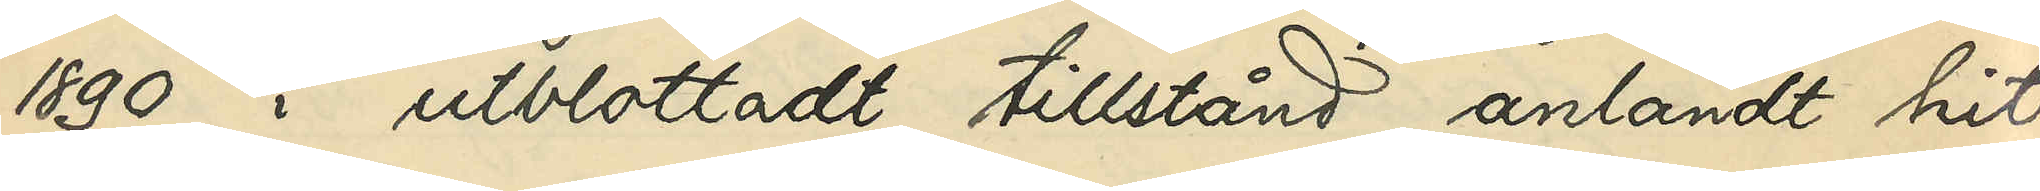1890 i utblottadt tillstånd anländt hit
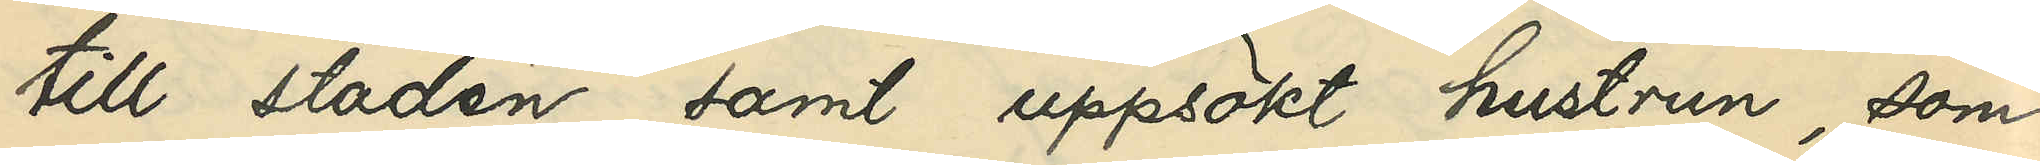till staden samt uppsökt hustrun, som
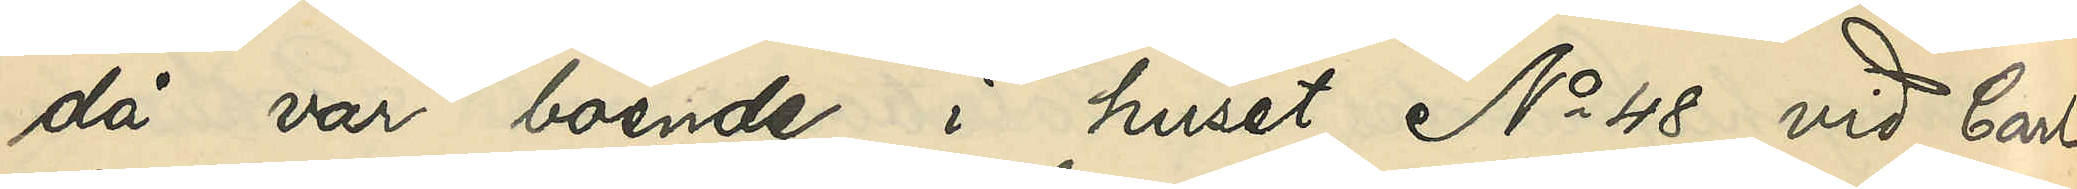då var boende i huset No 48 vid Carl
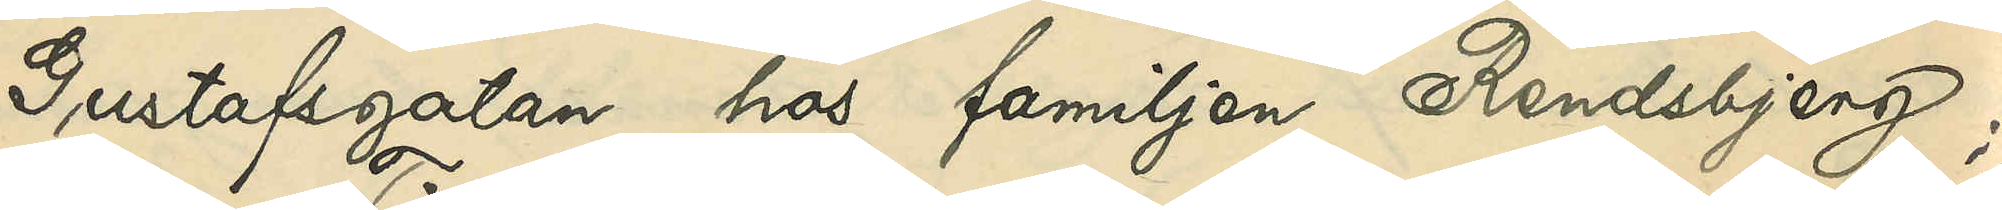Gustafsgatan hos familjen Rendsbjerg;
